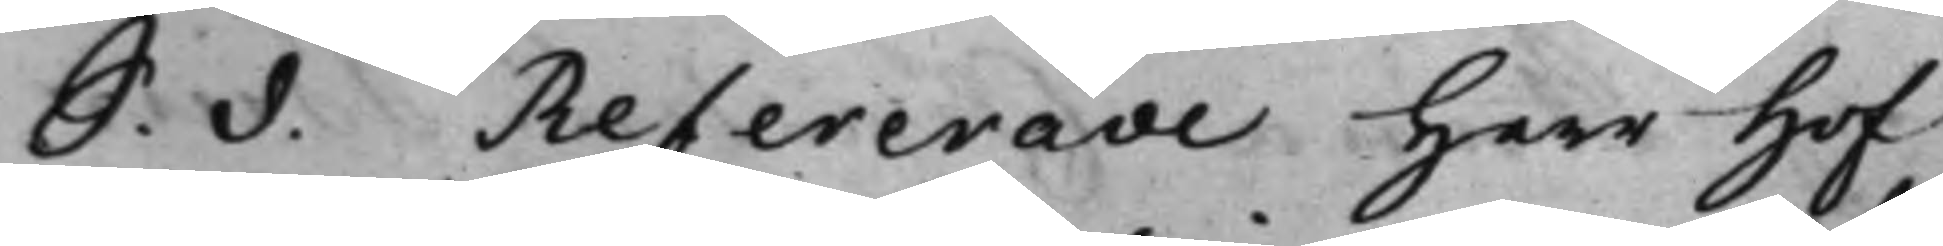S. d. Refererade Herr Hof¬
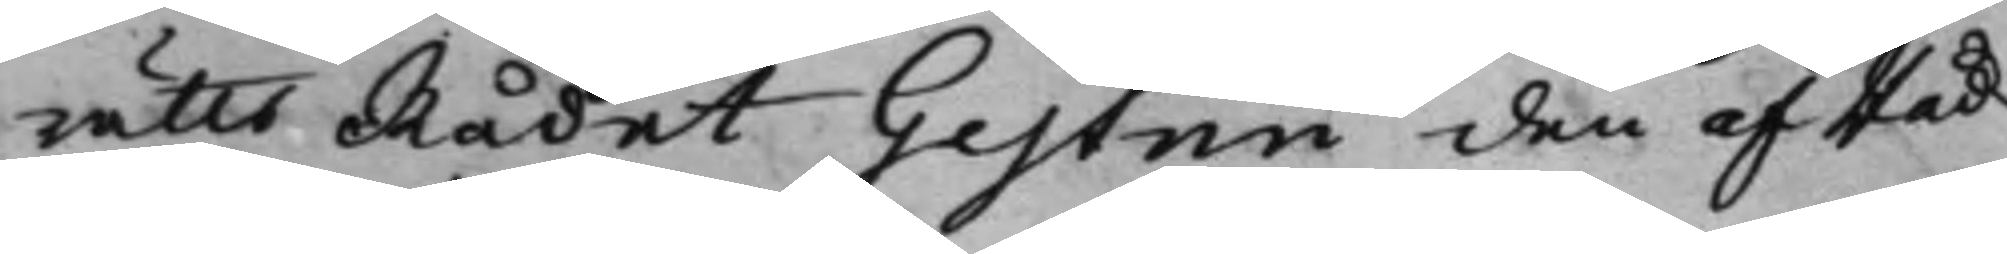RättsRådet Gestrin den af Råd¬
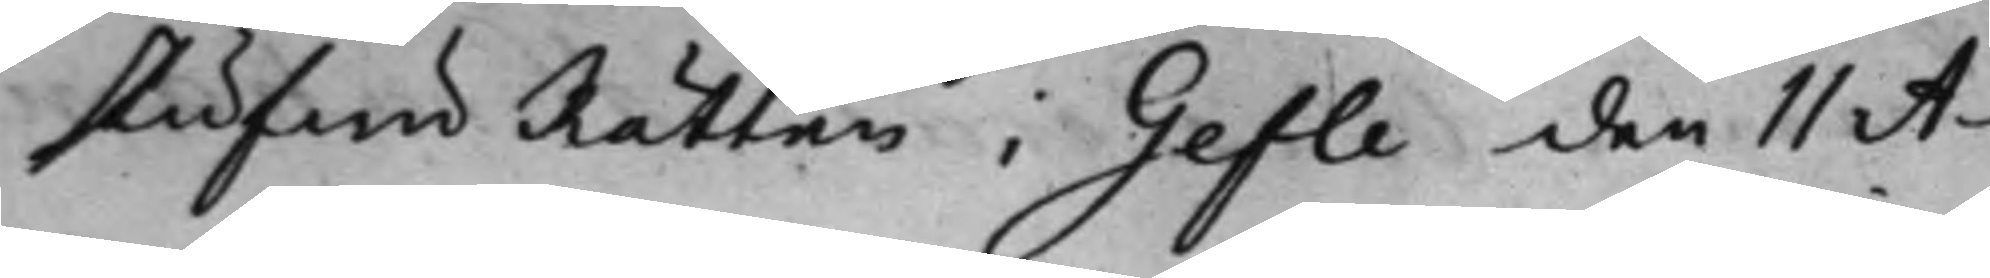stufwuRätten i Gefle den 11 A¬
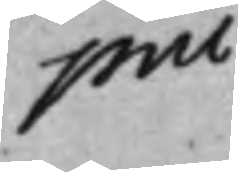pril
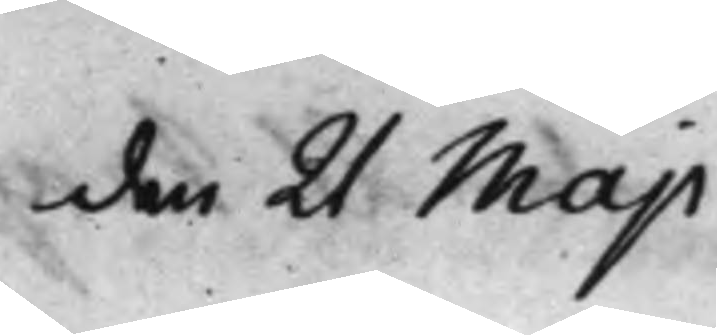den 21 Maji
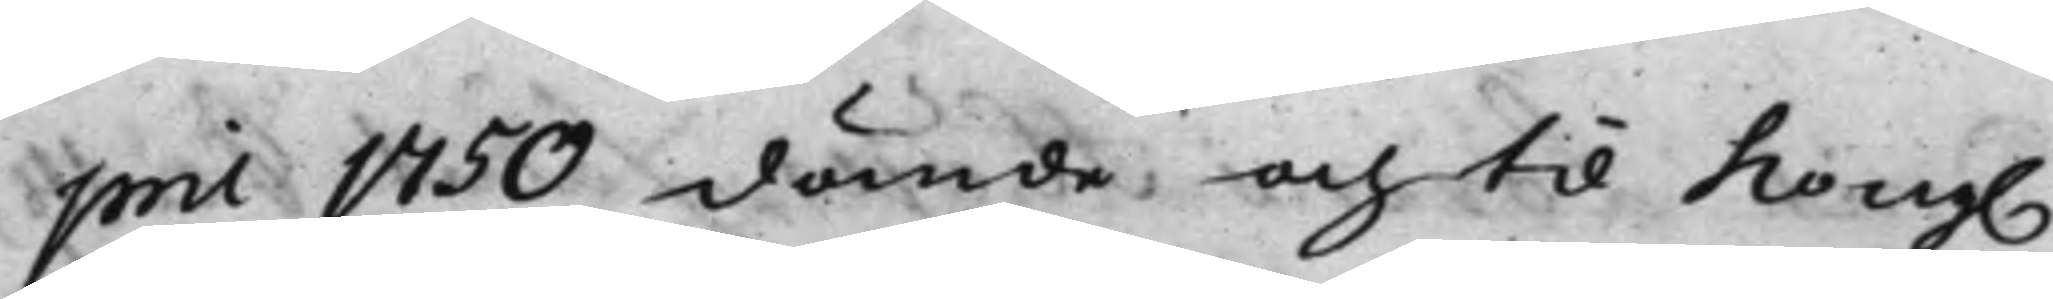pril 1750 dömde, och til Kong.
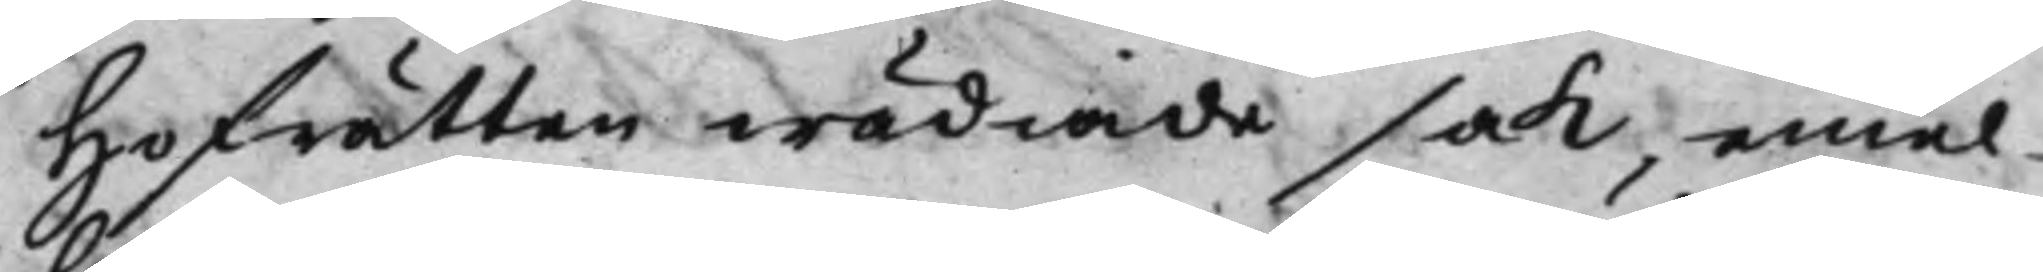Hofrätten wädiade sak, emel¬
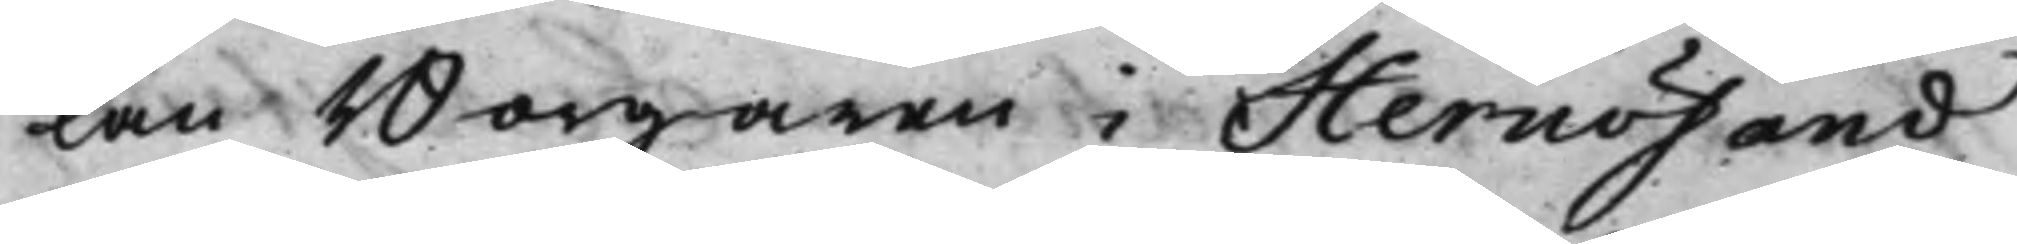lan Borgaren i Hernösand
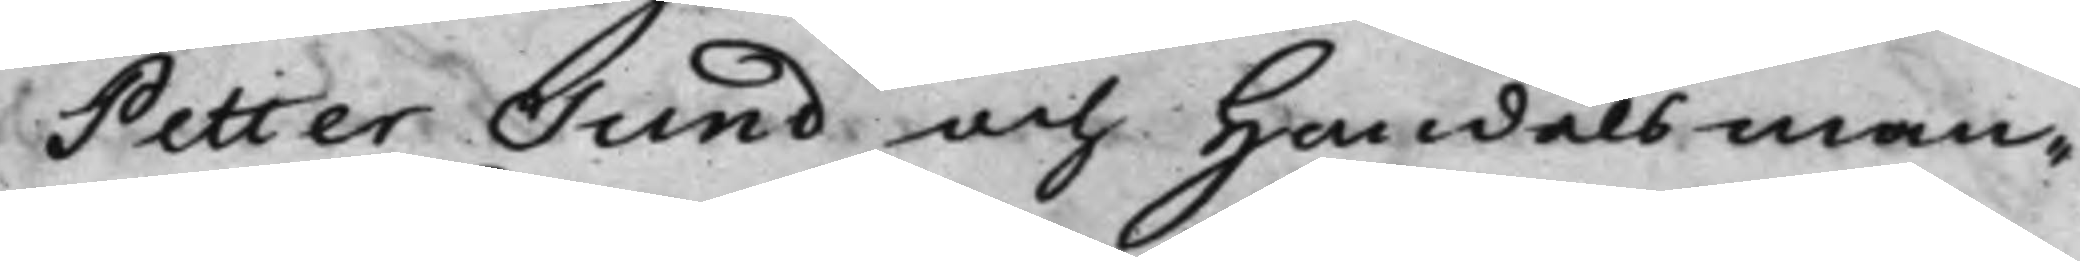Petter Sund, och Handelsman¬
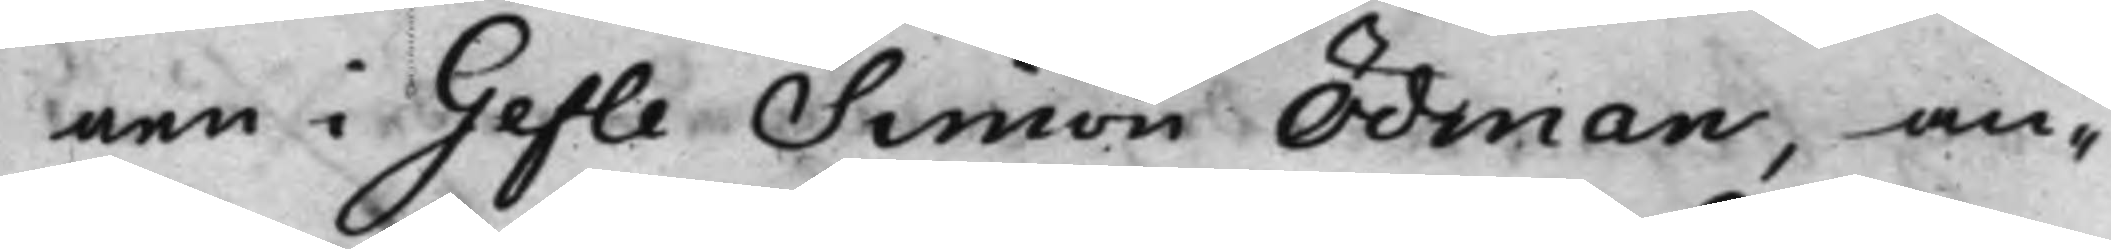nen i Gefle Simon Ödman, an¬
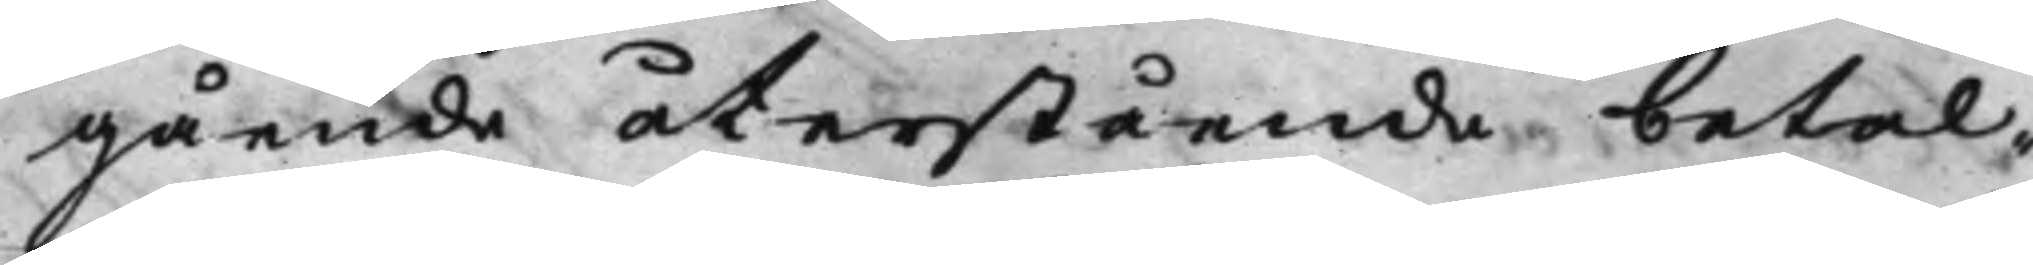gående återstående betal¬
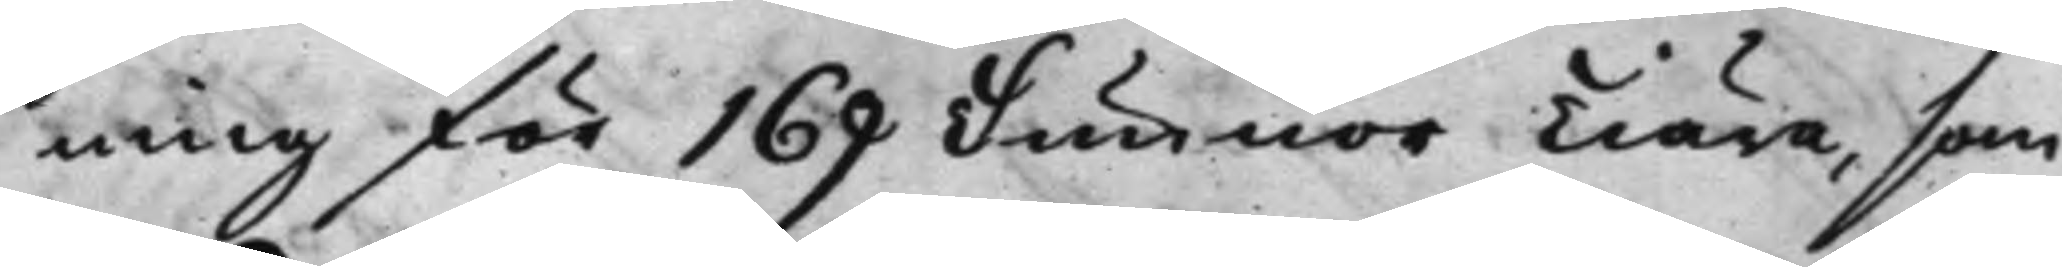ning för 169 Tunnor Tiära, som
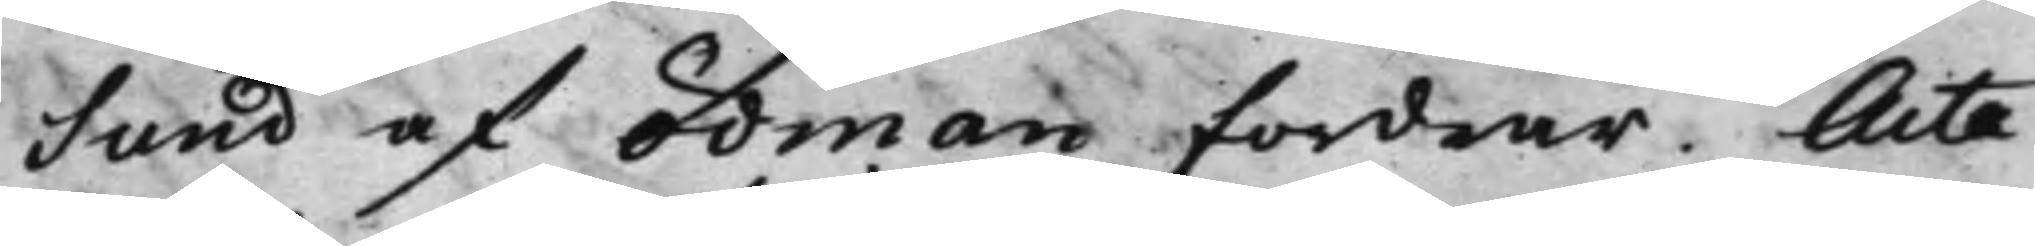Sund af Ödman fordrar. Acta
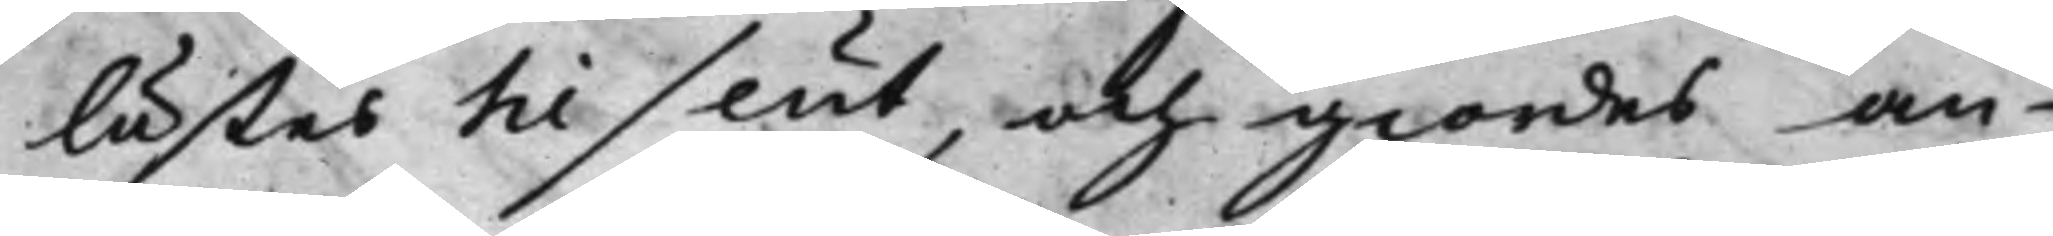lästes til slut, och giordes an¬
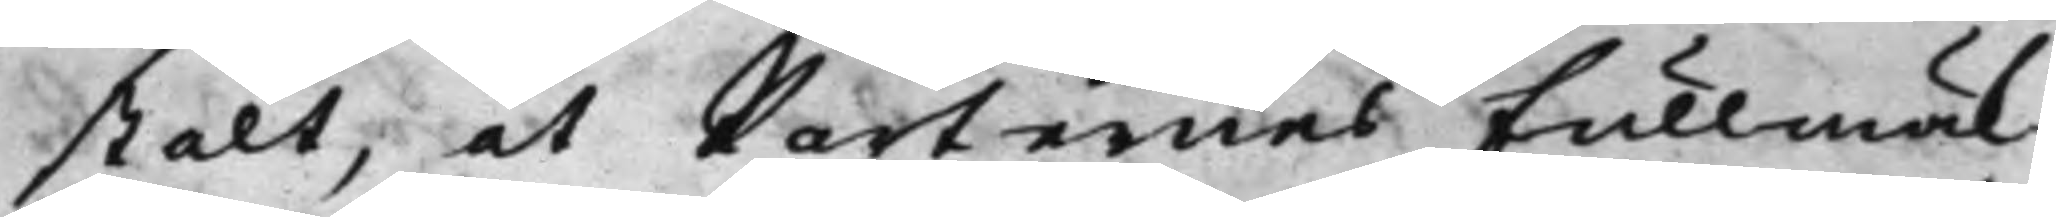stalt, at Parternes Fullmäk¬
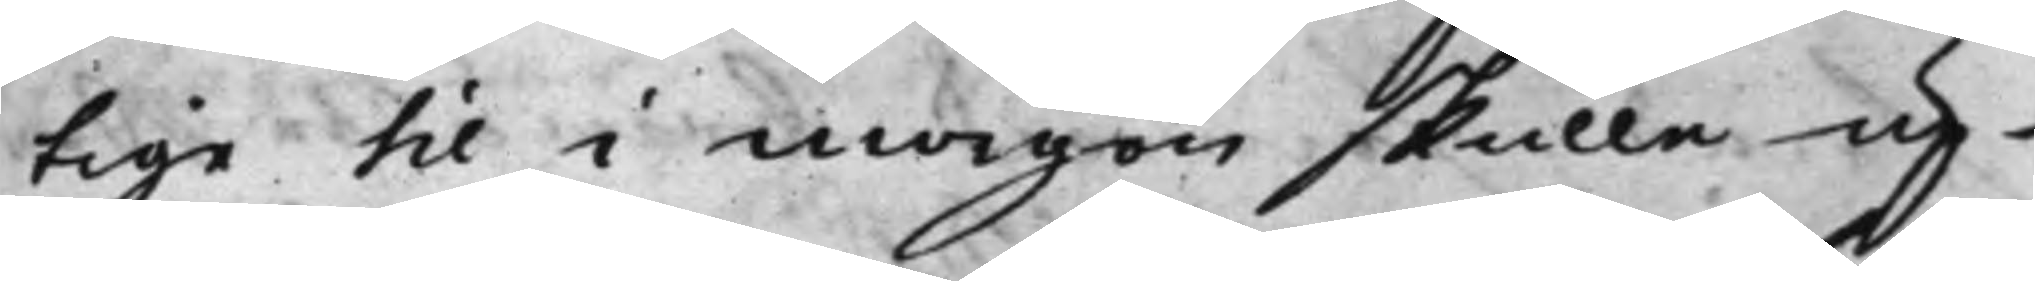tige til i morgon skulle up¬
